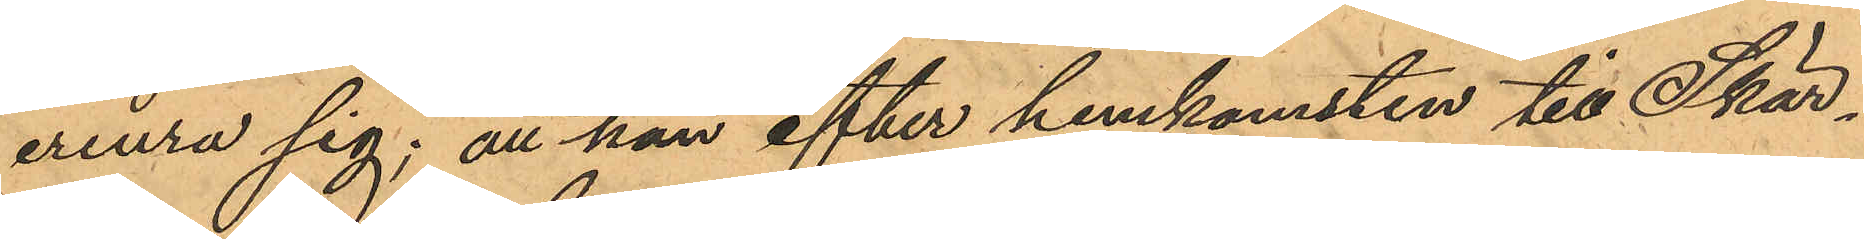erinra sig; att han efter hemkomsten till Skär¬
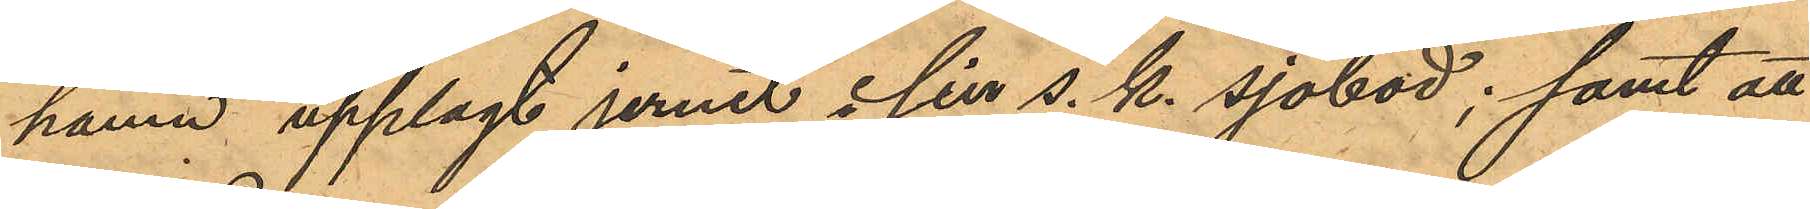hamn upplagt jernet i sin s. k. sjöbod; samt att
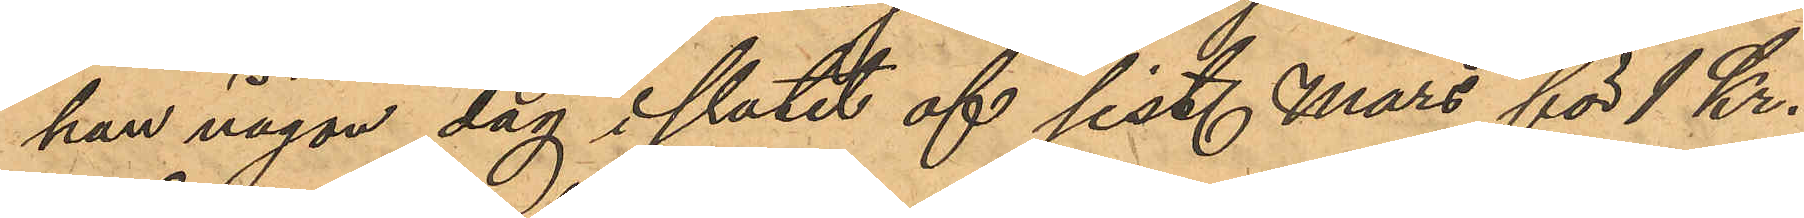han någon dag i slutet af sist. Mars för 1 Kr.
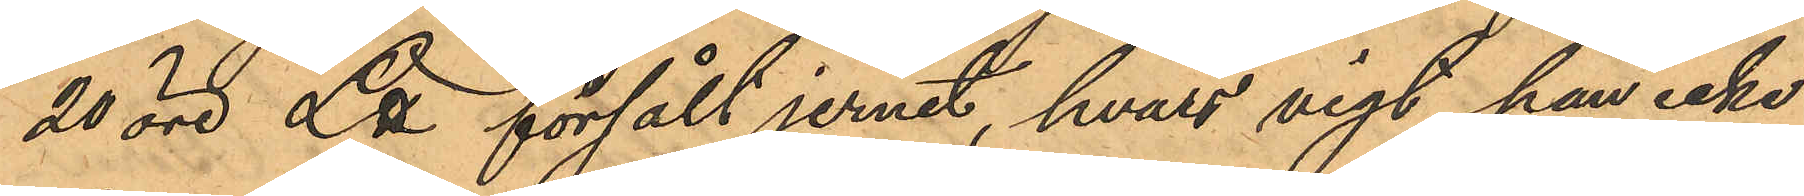20 öre L℔ försålt jernet, hvars vigt han icke
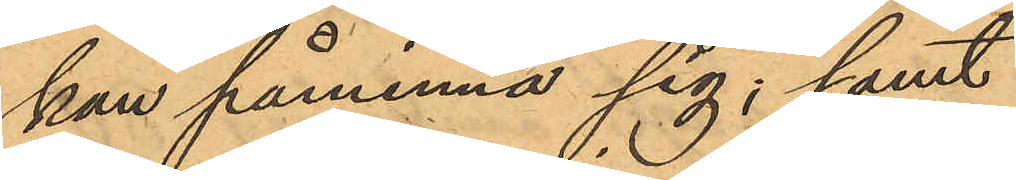kan påminna sig; samt
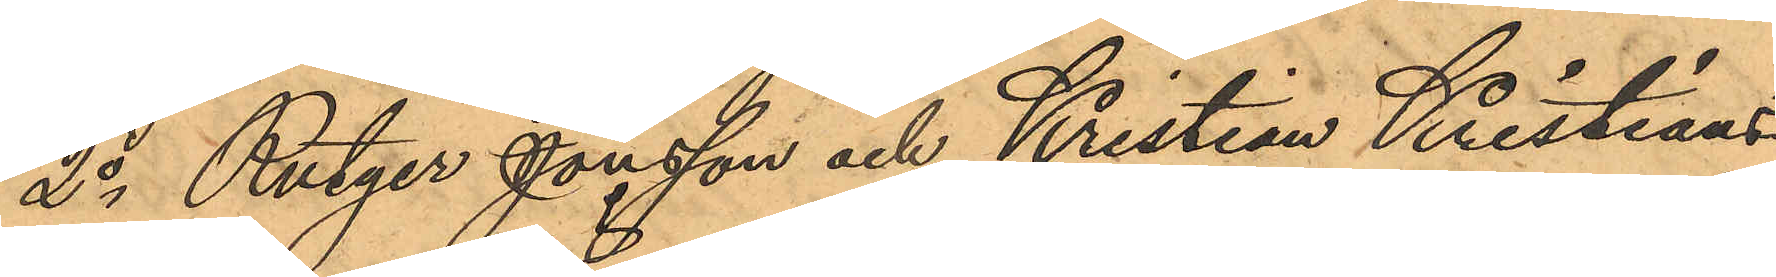2o Rutger Jonsson och Kristian Kristians¬
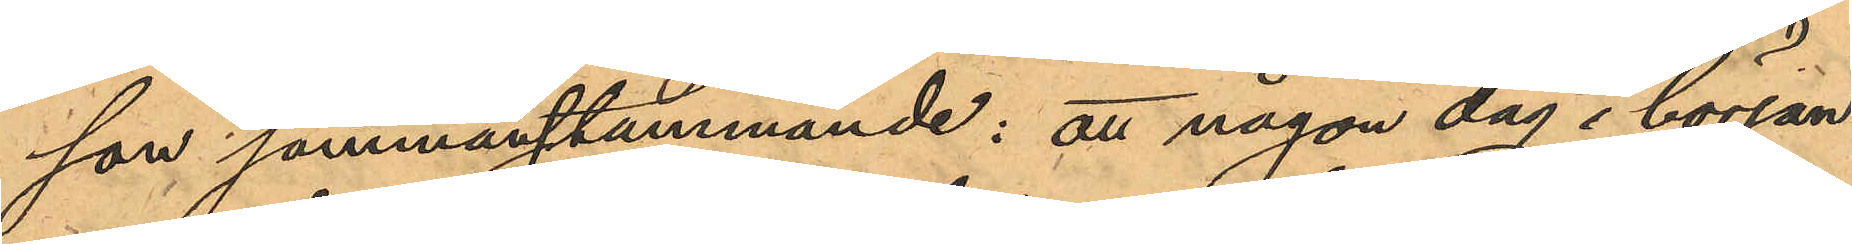son sammanstämmande: att någon dag i början
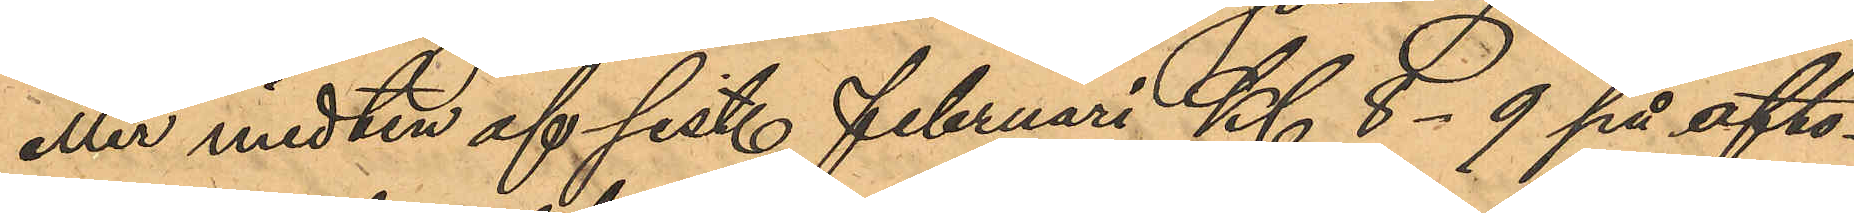eller midten af sist. Februari Kl. 8-9 på afto¬
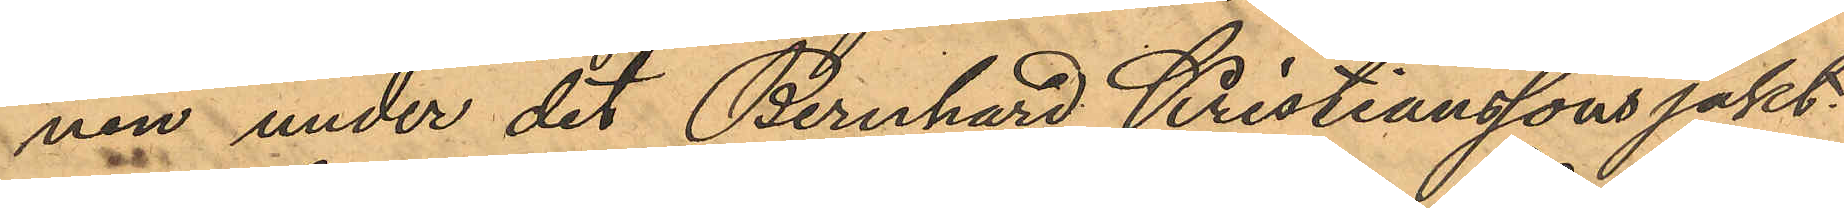nen under det Bernhard Kristianssons jakt
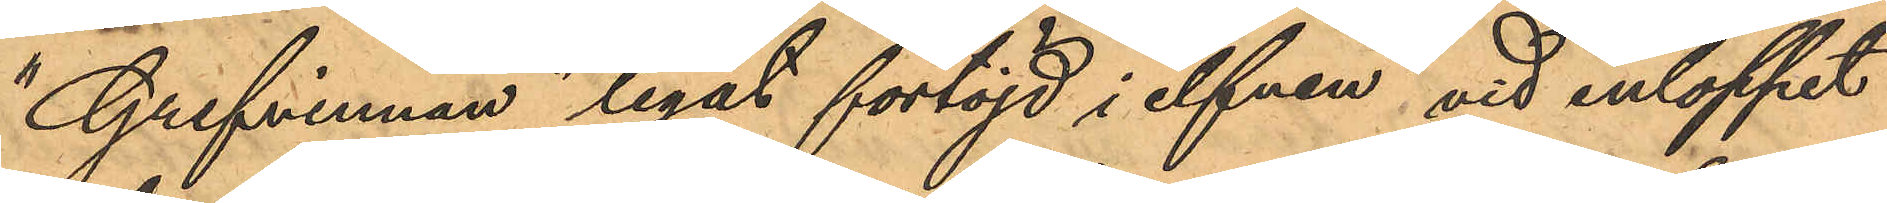"Grefvinnan" legat förtöjd i elfven vid inloppet
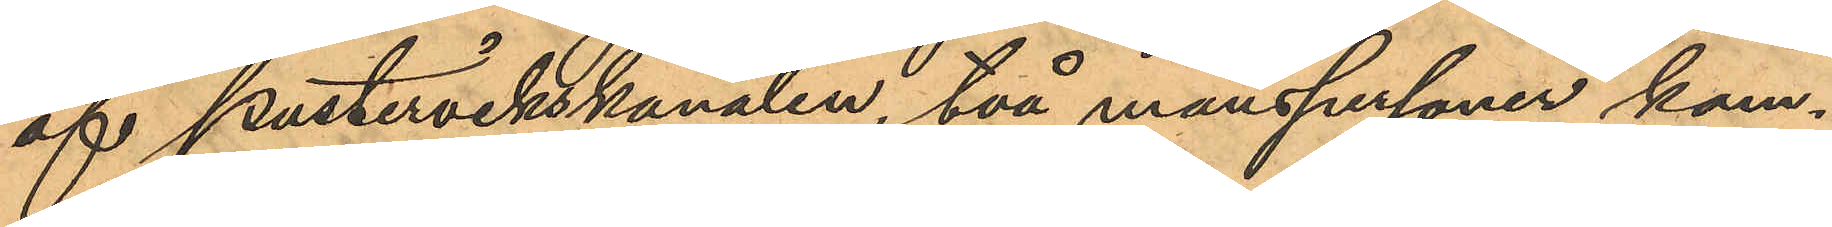af Pustervikskanalen, två manspersoner kom¬
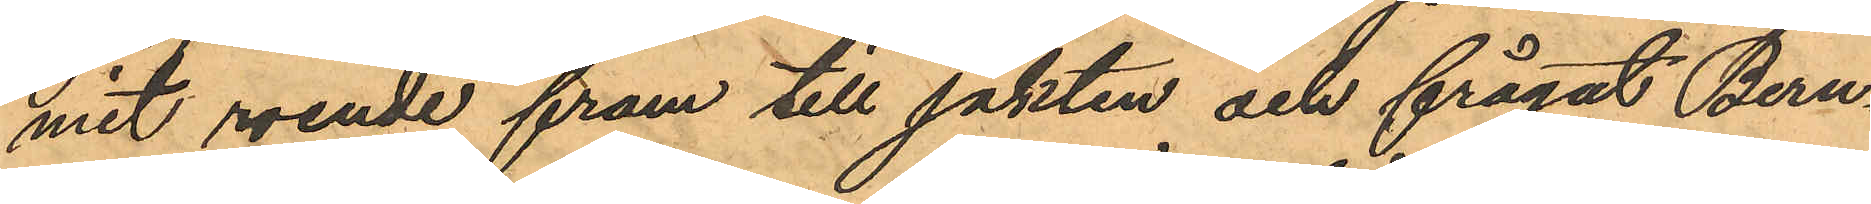mit roende fram till jakten och frågat Bern¬
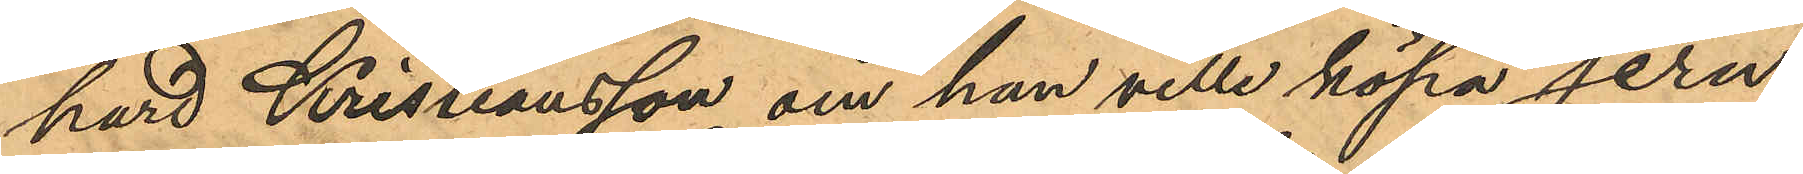hard Kristsiansson om han ville köpa jern;
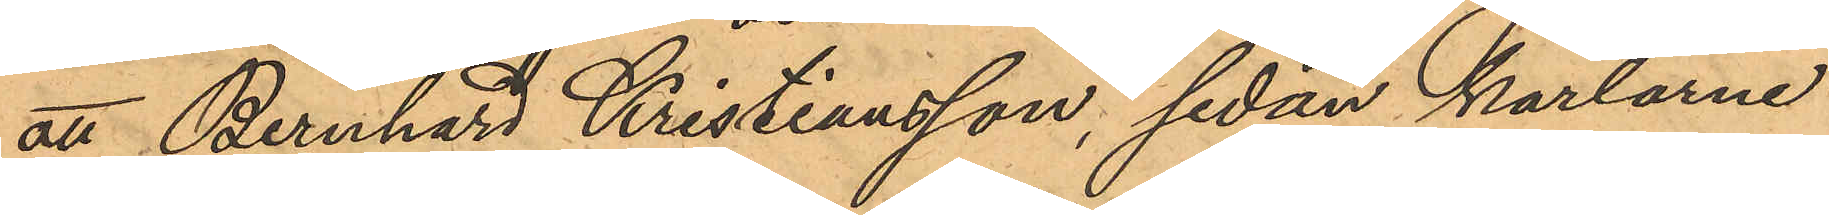att Bernhard Kristiansson, sedan karlarne
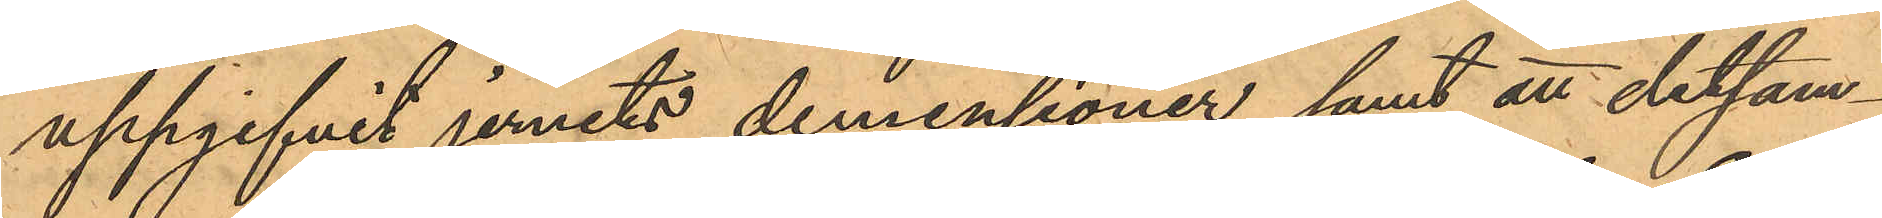uppgifvit jernets demensioner samt att detsam¬
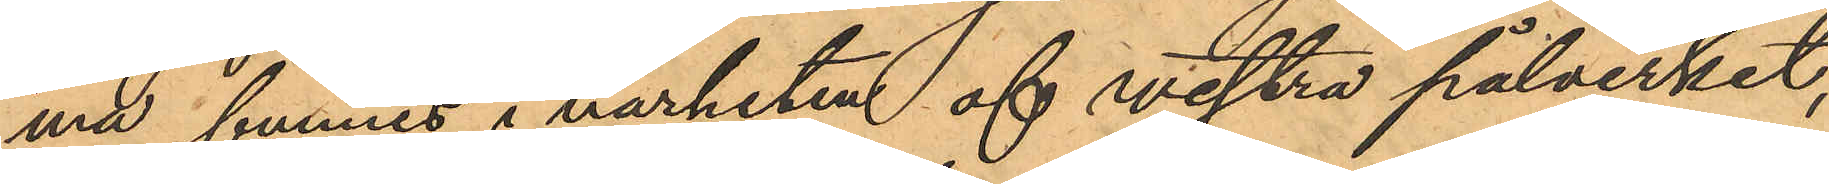ma funnes i närheten af vestra pålverket,
